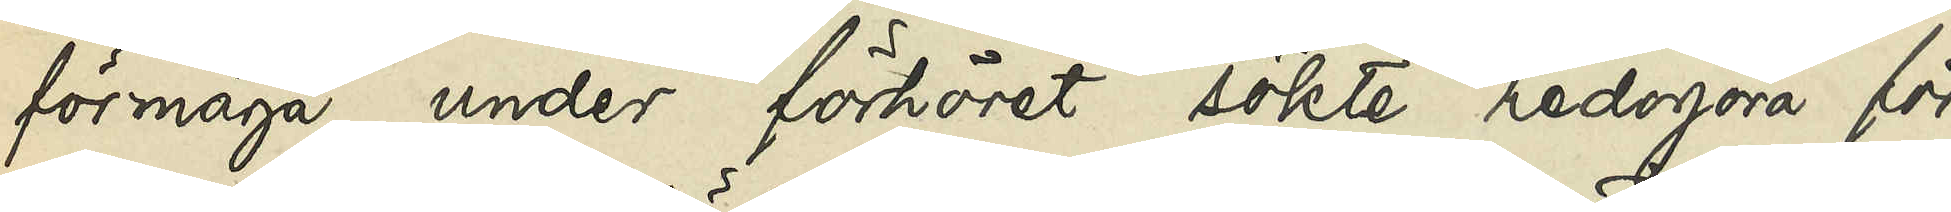förmåga under förhöret sökte redogöra för
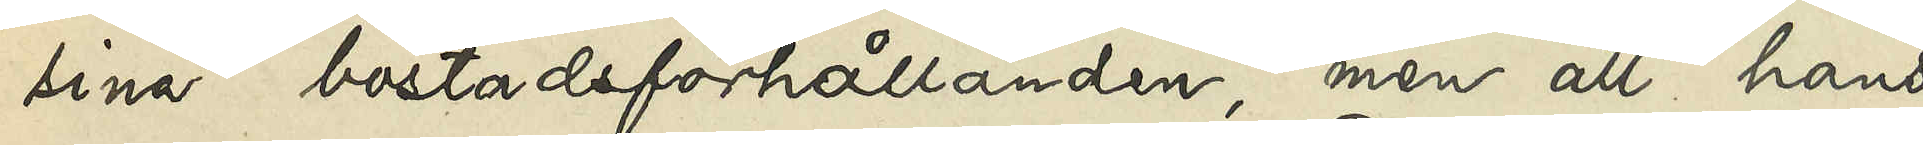sina bostadsförhållanden, men att hans
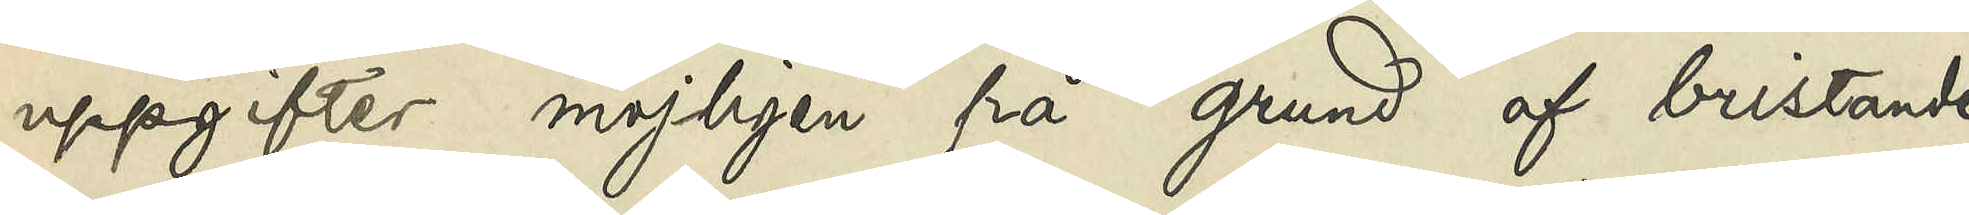uppgifter möjligen på grund af bristande
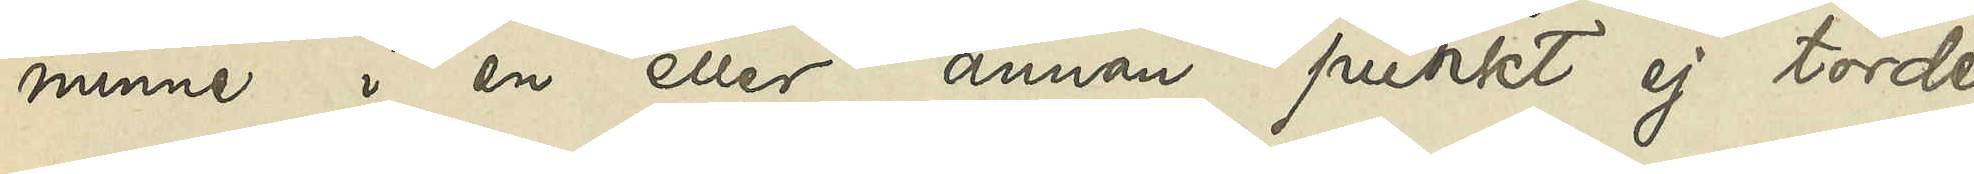minne i en eller annan punkt ej torde
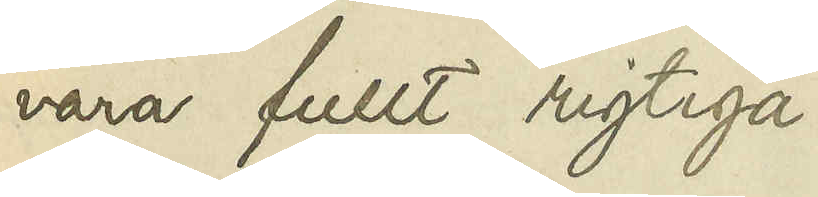vara fullt rigtiga.
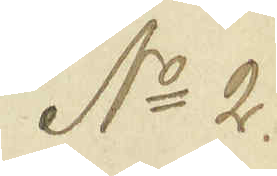No 2.
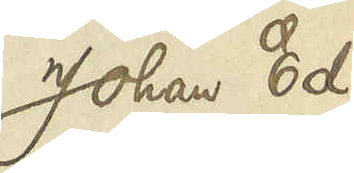Johan Ed¬
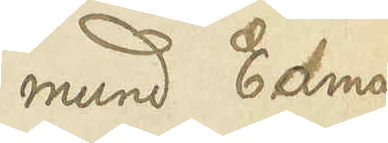mund Edman
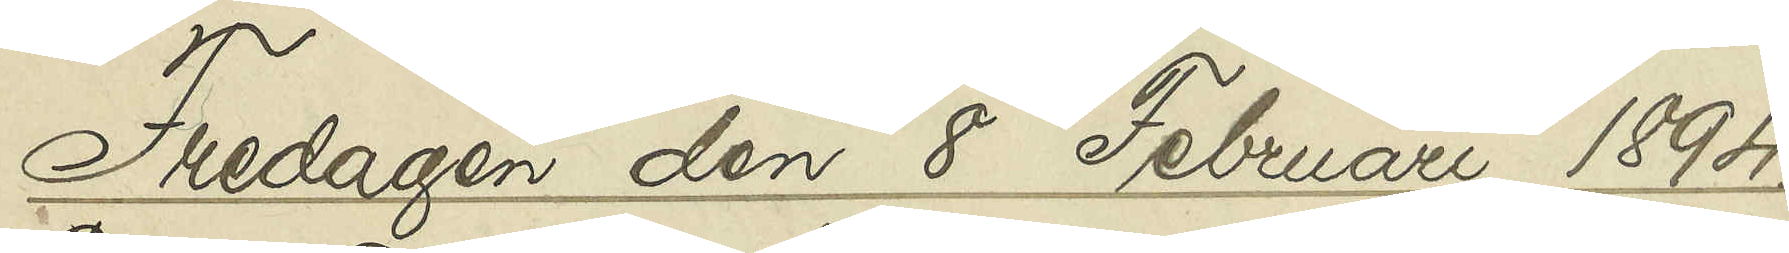Fredagen den 8 Februari 1894.
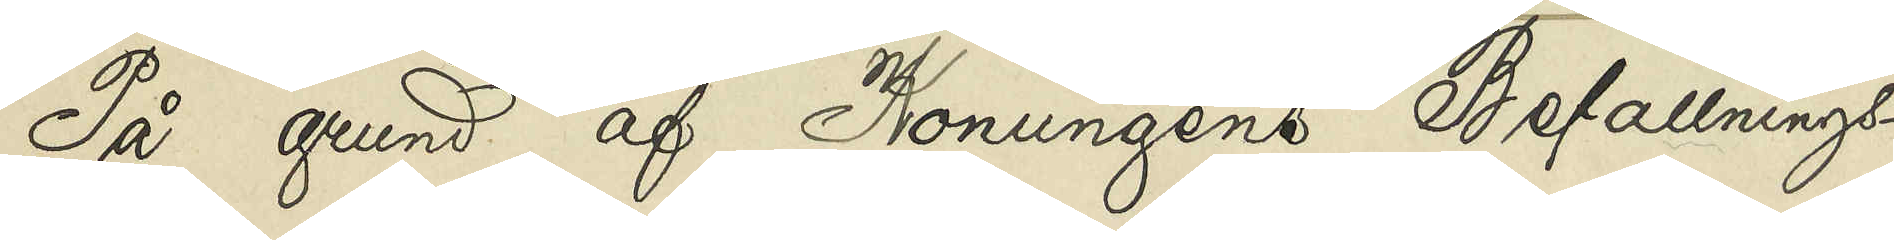På grund af Konungens Befallnings¬
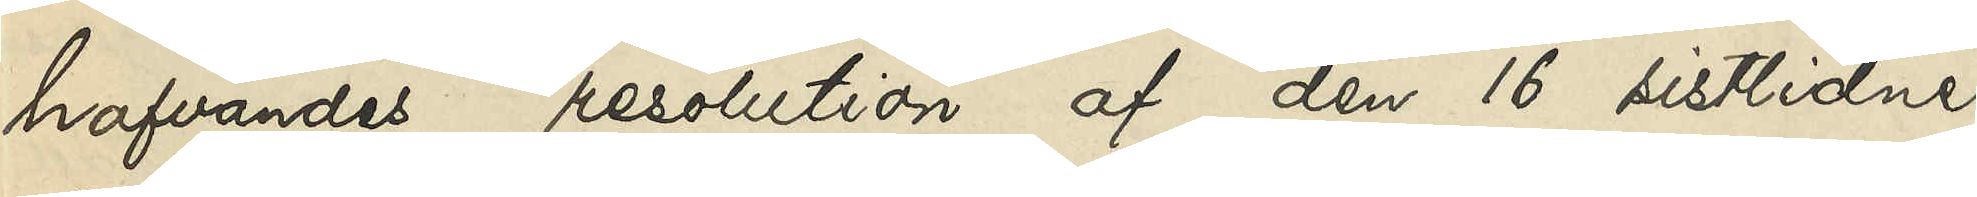hafvandes resolution af den 16 sistlidne
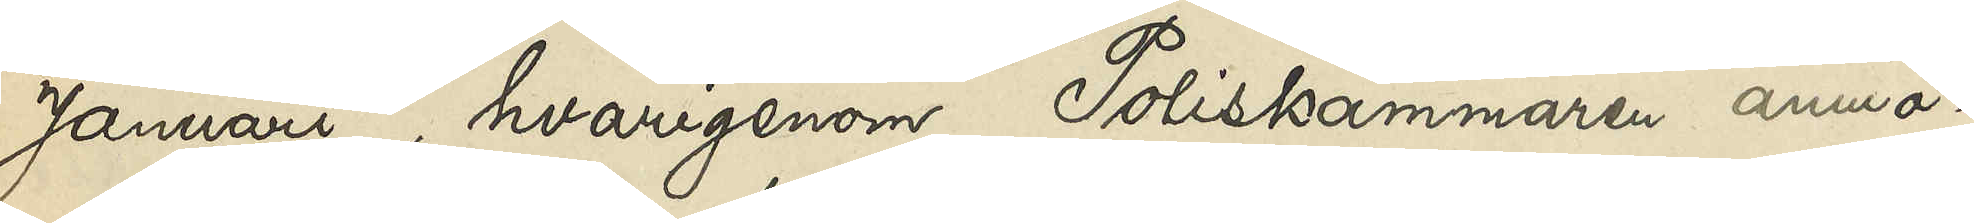Januari, hvarigenom Poliskammaren anmo¬
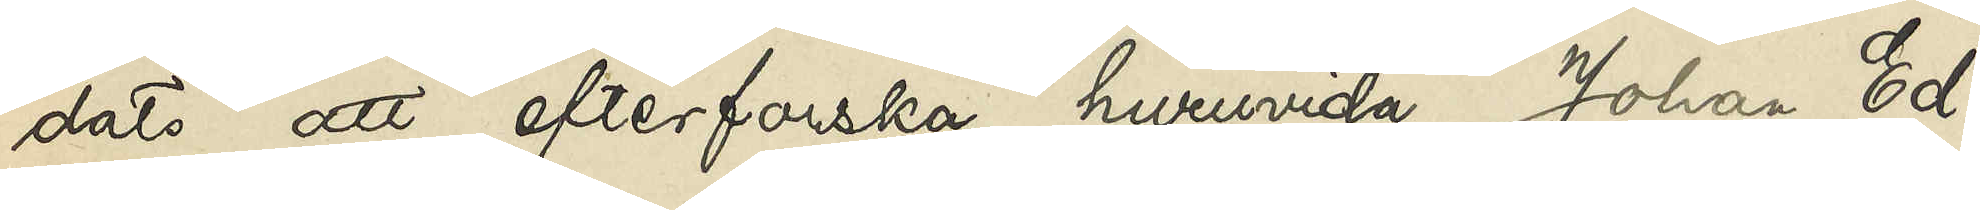dats att efterforska, huruvida Johan Ed¬
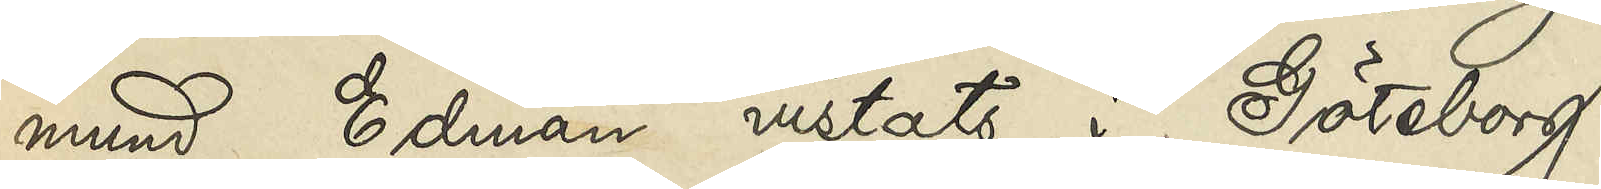mund Edman vistats i Göteborg
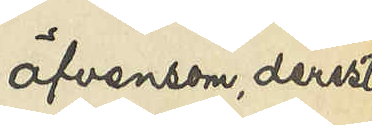äfvensom derest
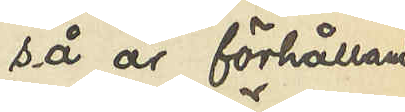så är förhållandet
